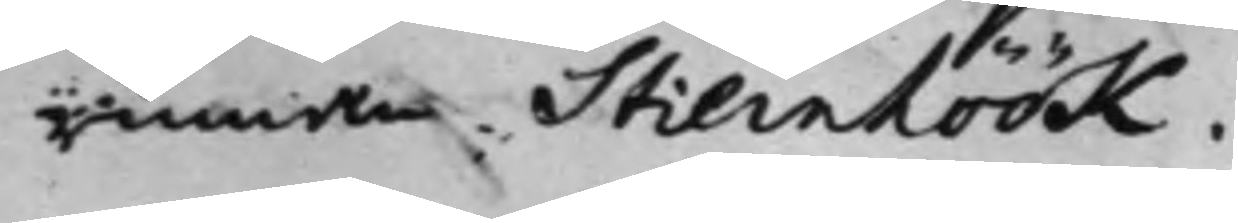rinnan Stiernhöök.
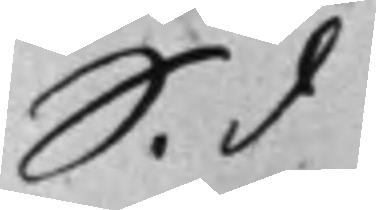S. d.
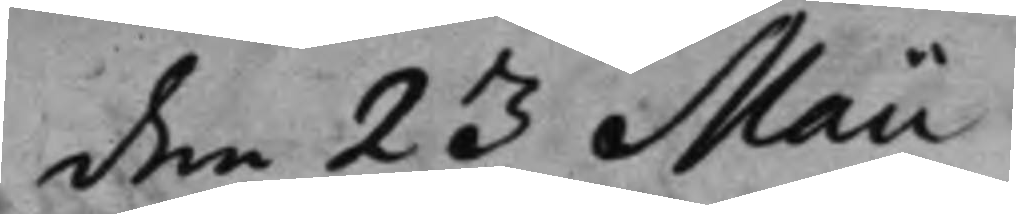den 23 Maii
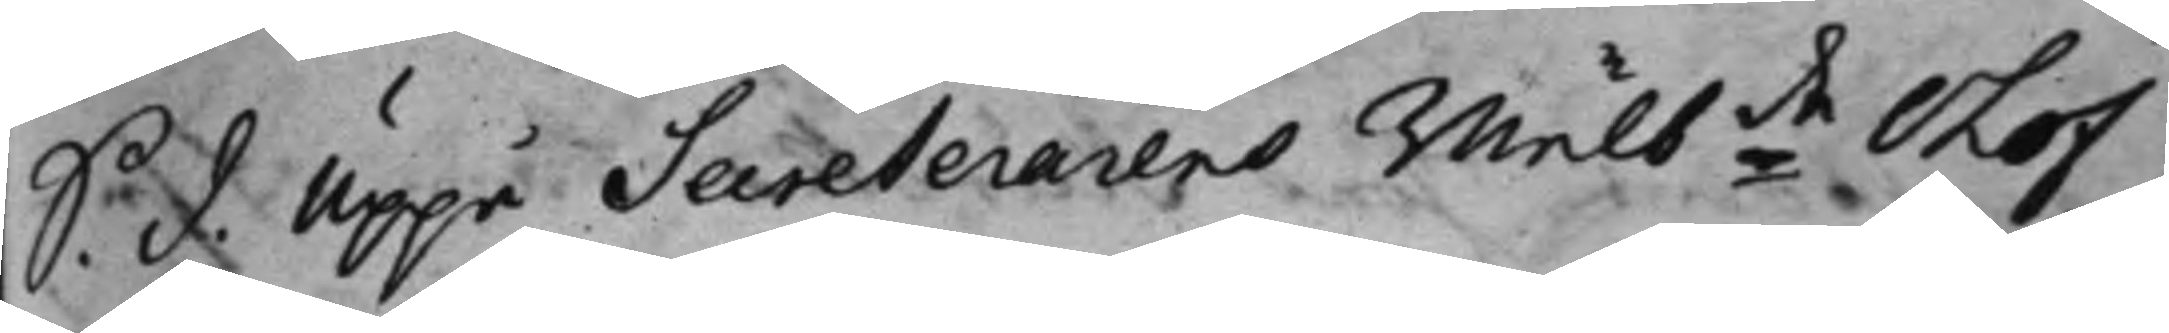S. d. Uppå Secreterarens wälbde Olof
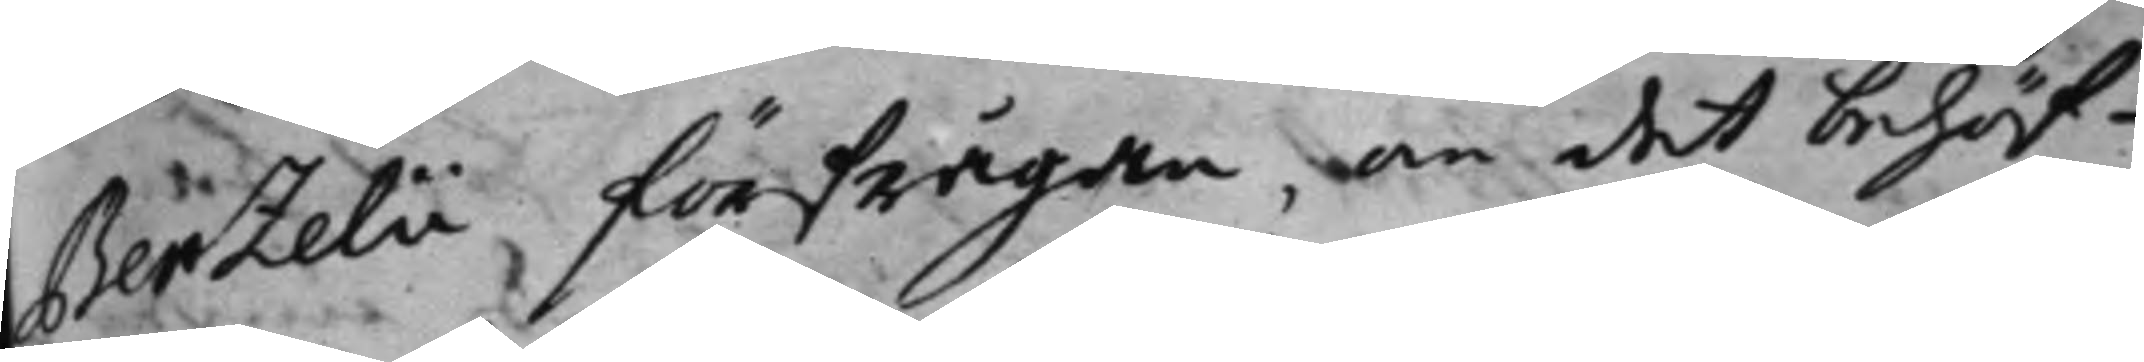Berzelii förfrågan, om det behöf¬
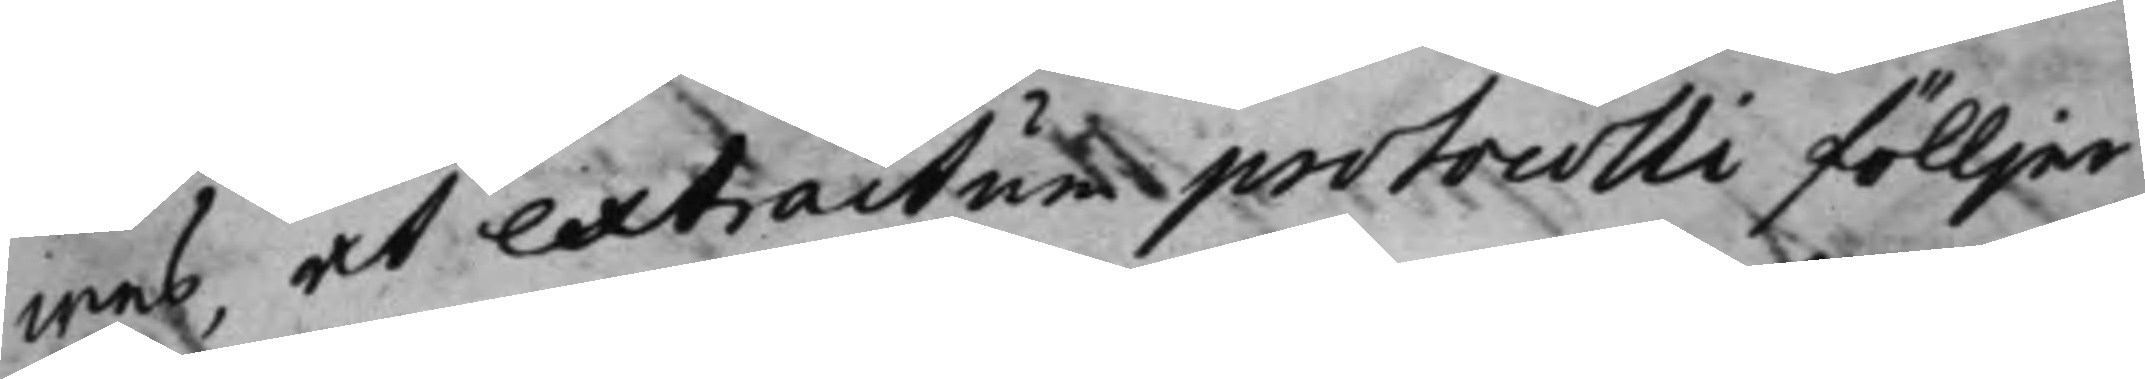wes, at extractum protocolli fölljer
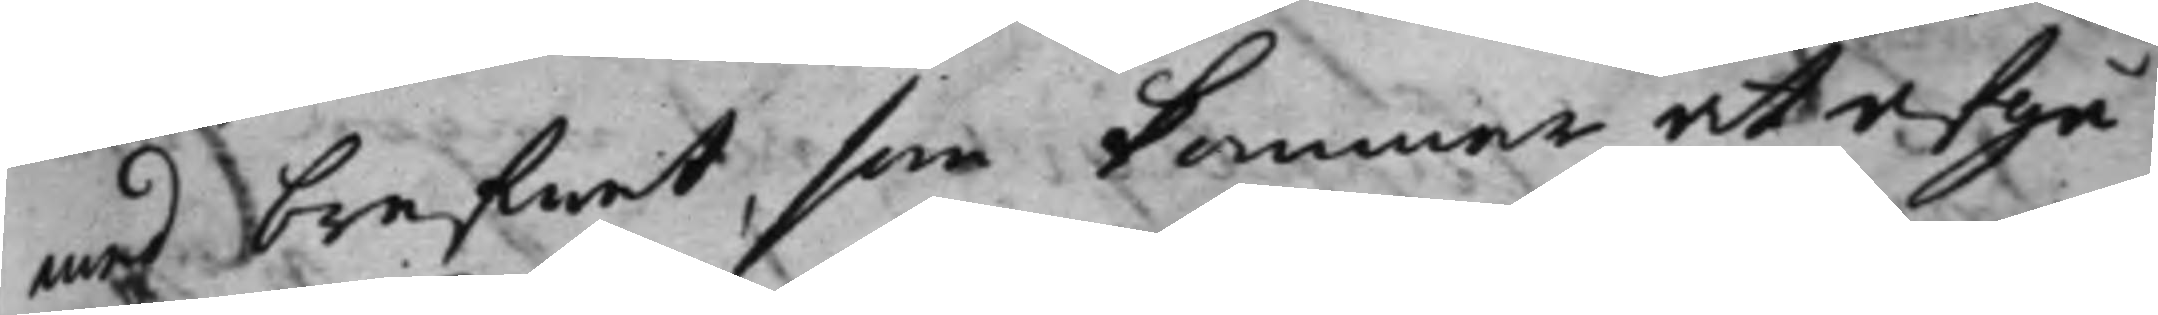med brefwet, som kommer at afgå
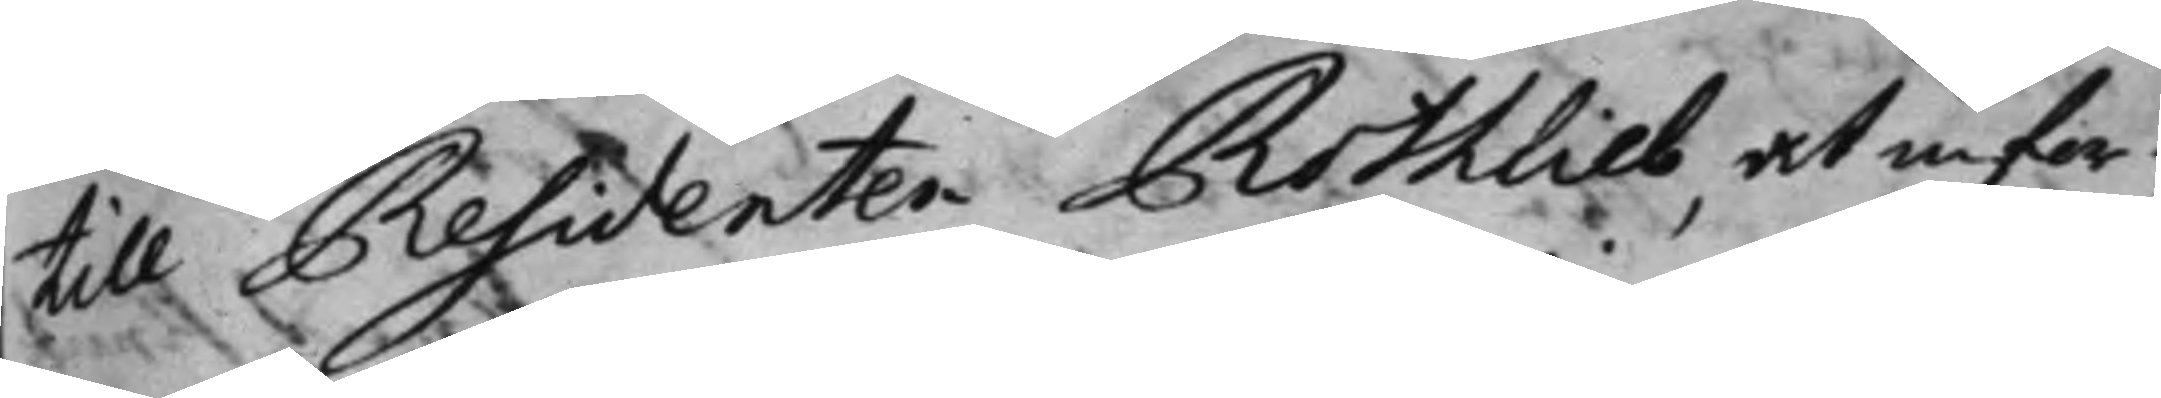till Residenten Rothlieb at infor¬
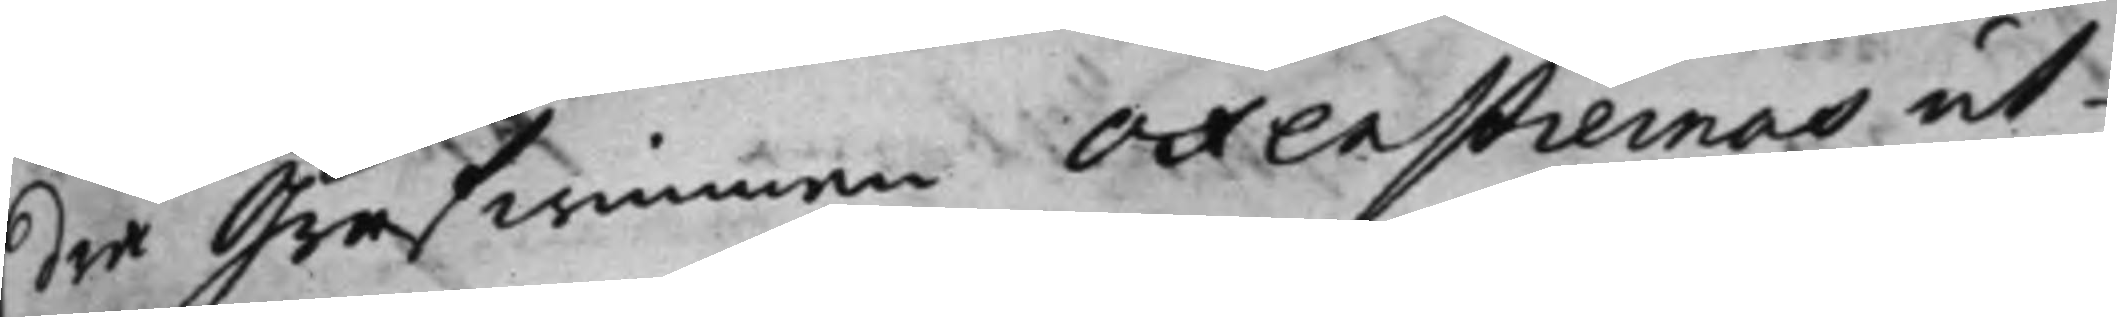dra Grefwinnan Oxenstiernas ut¬
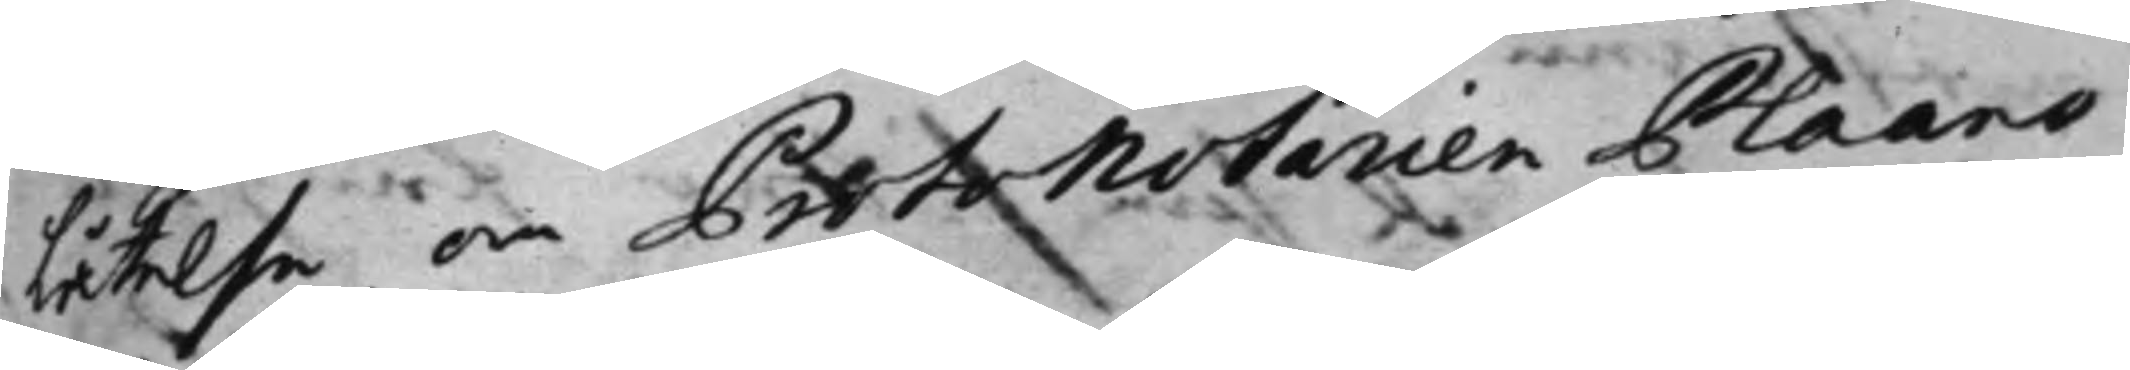låtelse, om Protonotarien Plaans
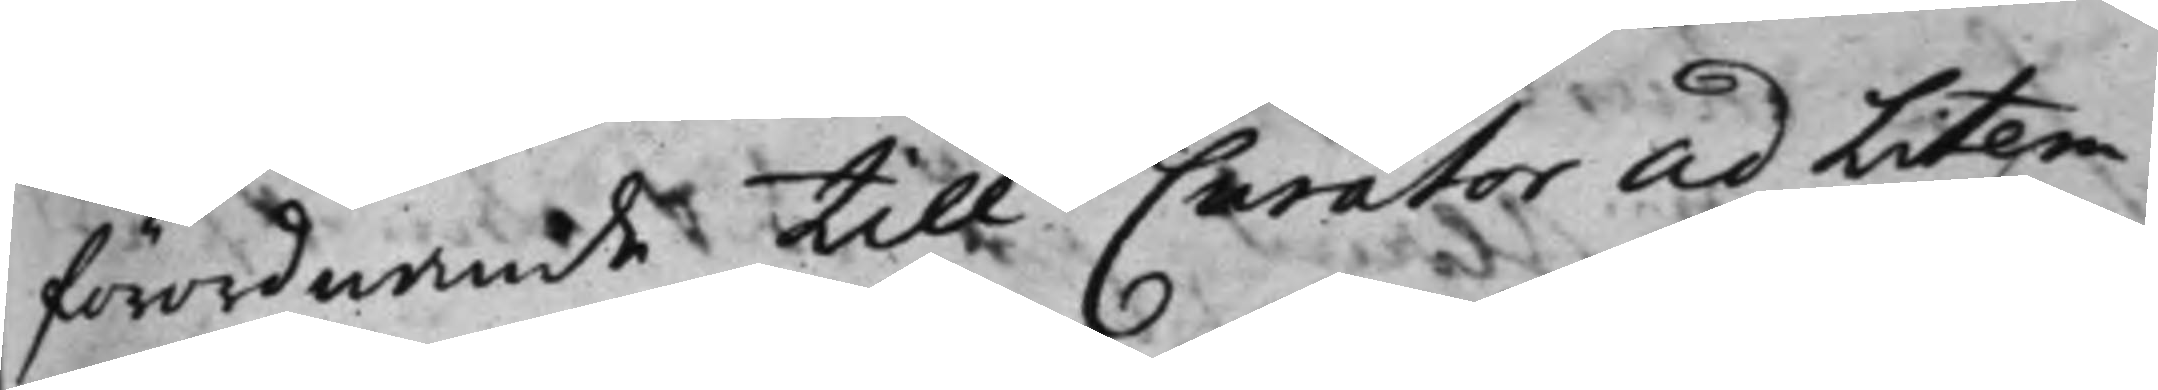förordnande till Curator ad litem
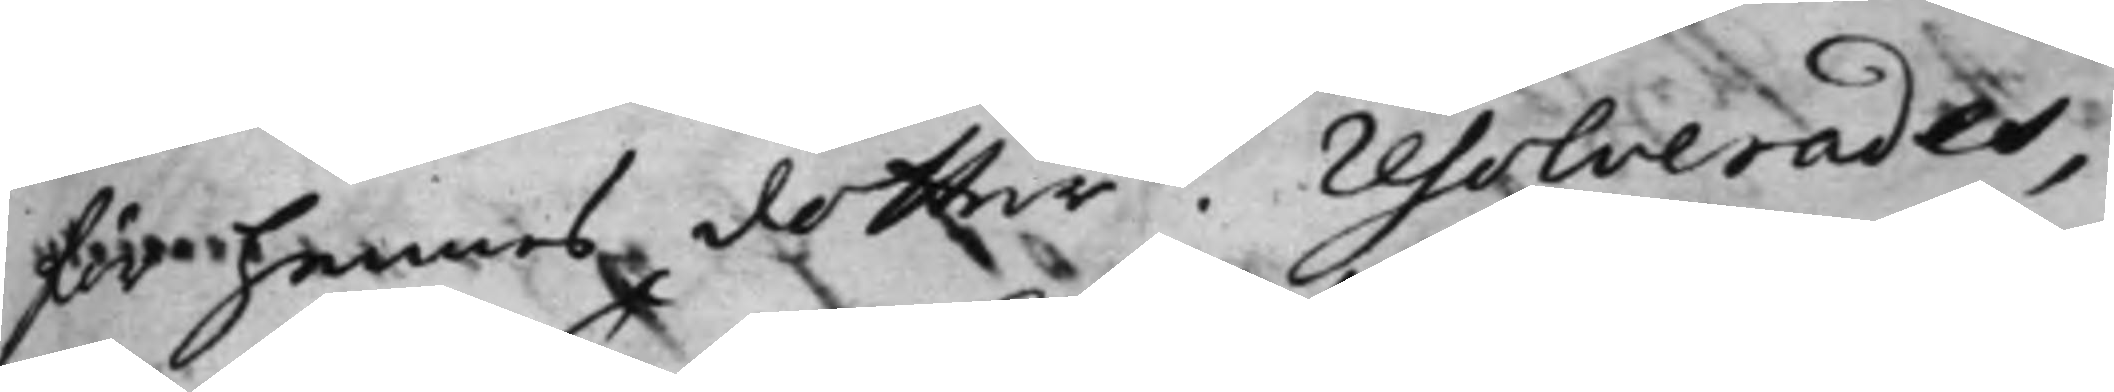för hennes dotter. Resolverades,
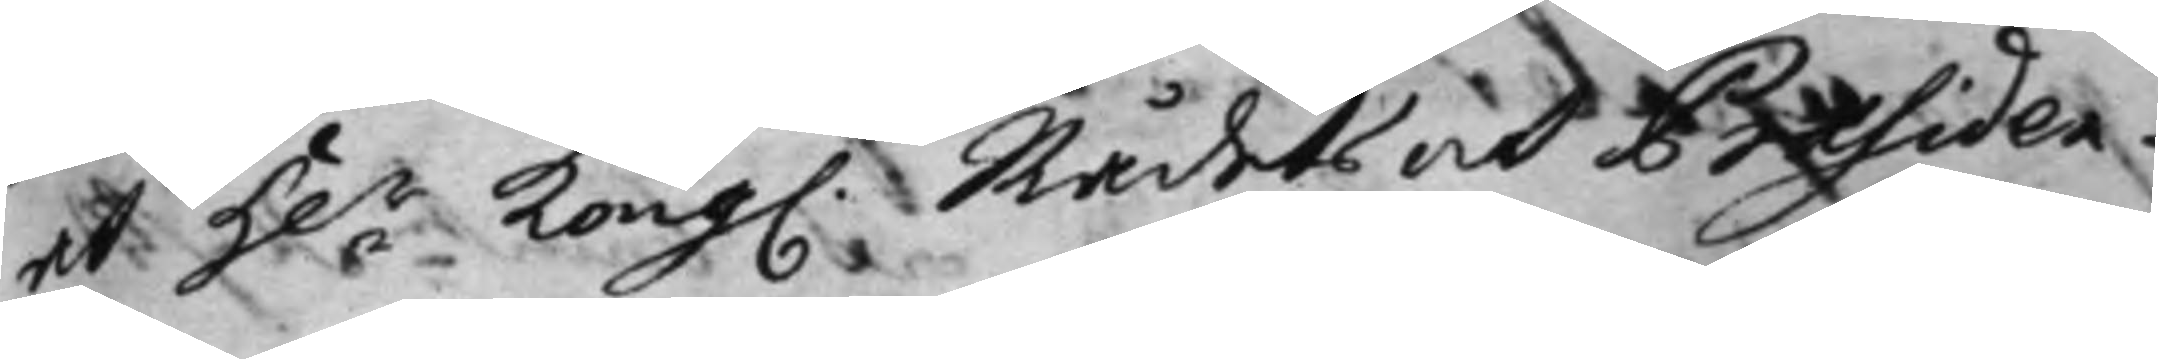at H.r Kong: Rådets och Präsiden¬
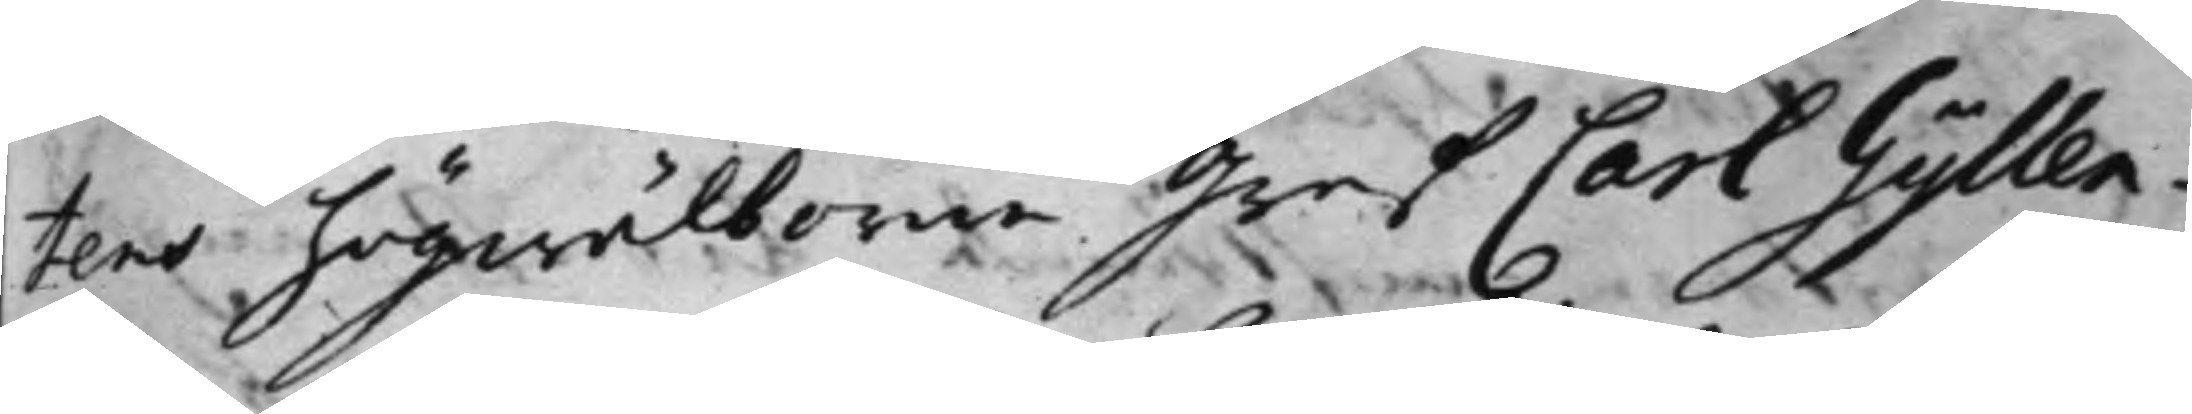tens högwälborne Gref Carl Gyllen¬
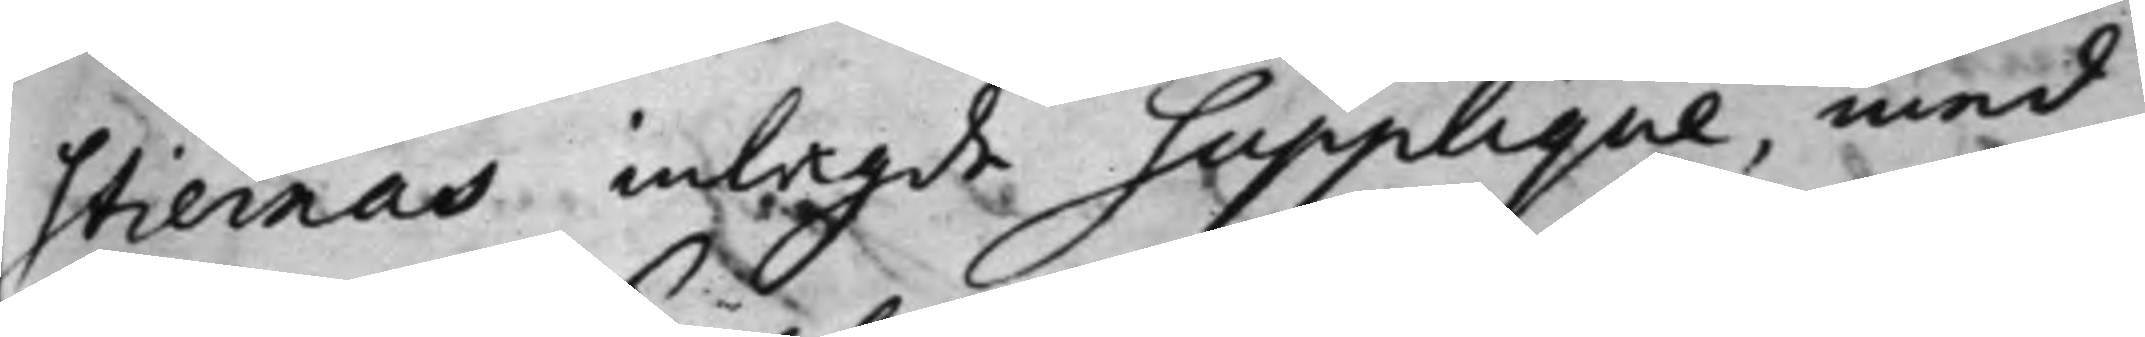stiernas inlagde supplique, med
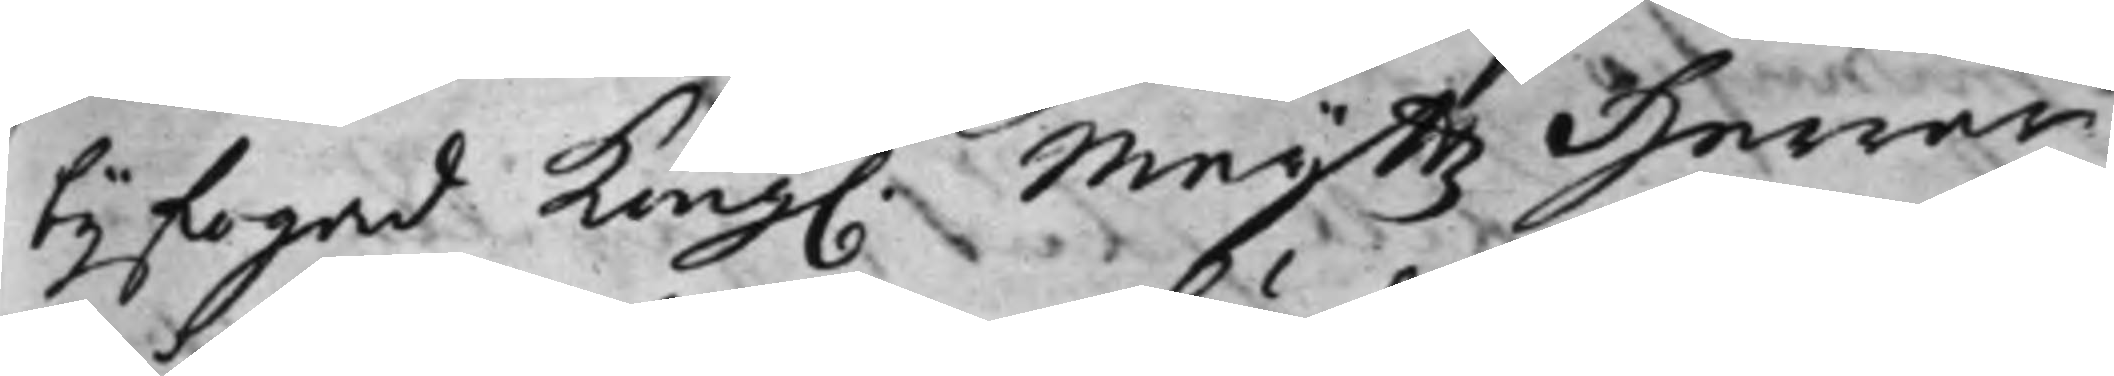bijfogad Kong. Maijß Herrar
